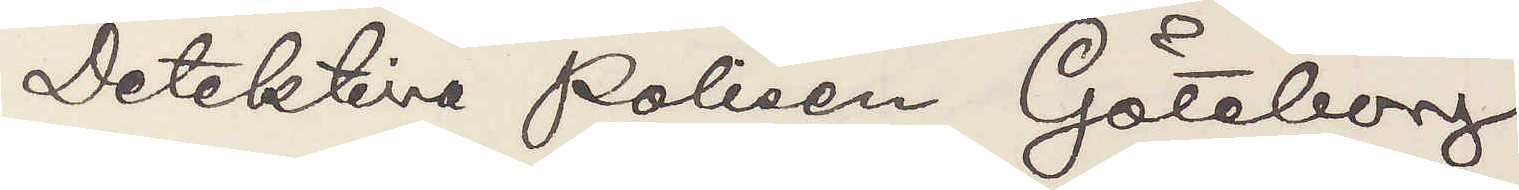Detektiva Polisen Göteborg.
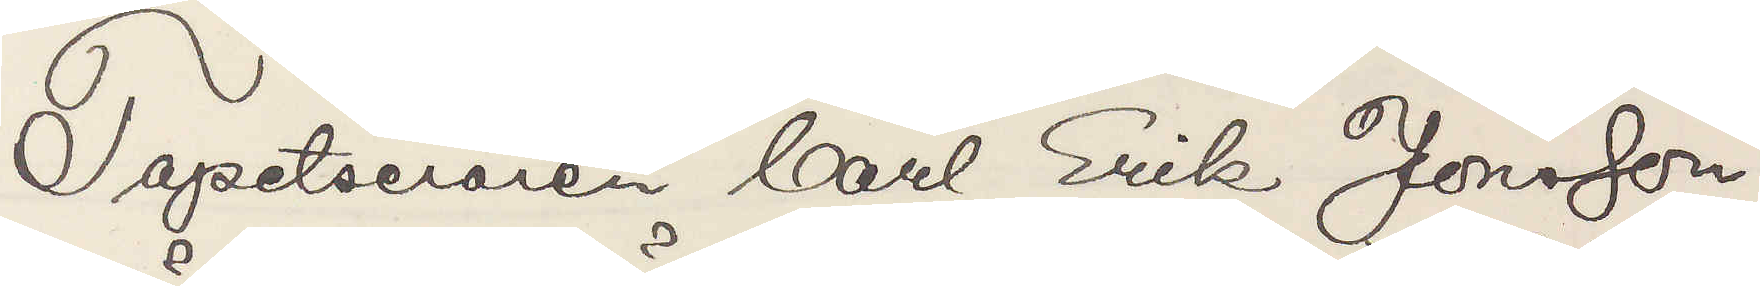Tapetseraren Carl Erik Jonsson
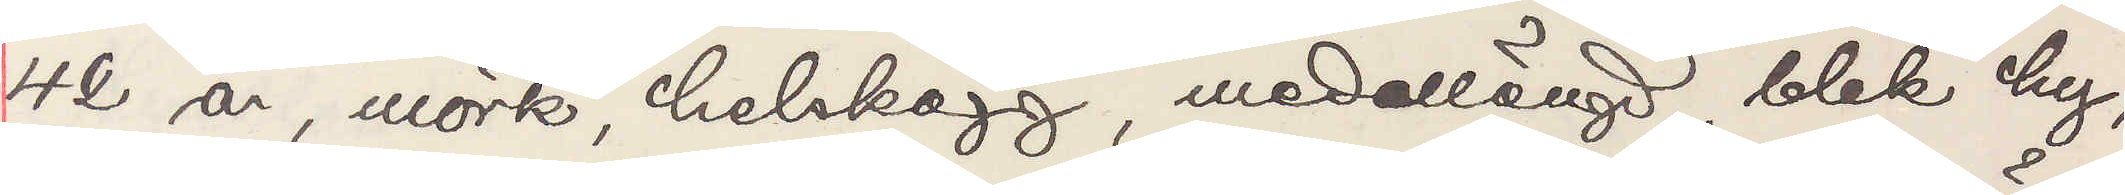42 år, mörk, helskägg, medellängd, blek hy,
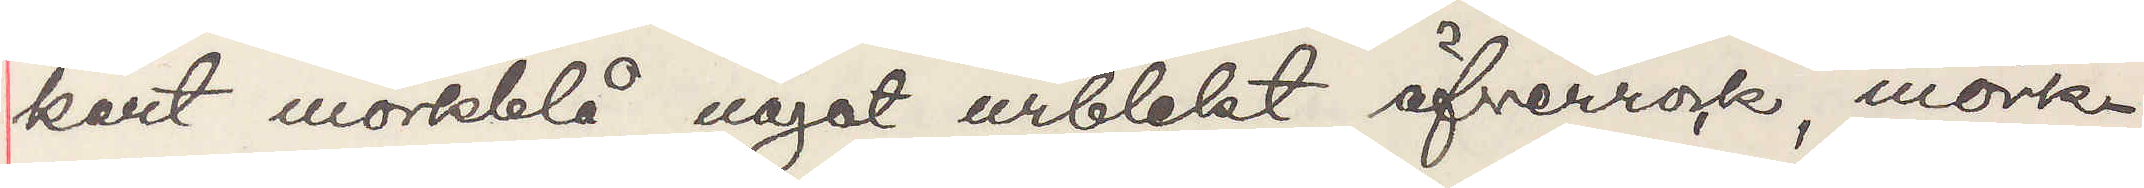kort mörkblå något urblekt öfverrock, mörka
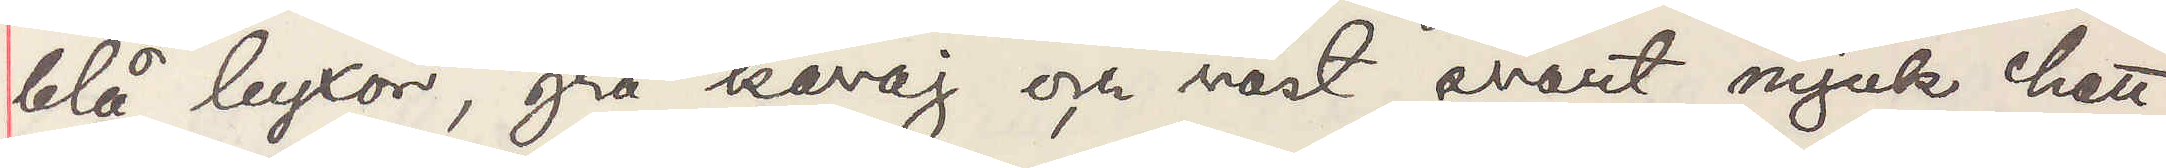blå byxor, grå kavaj och väst, svart mjuk hatt,
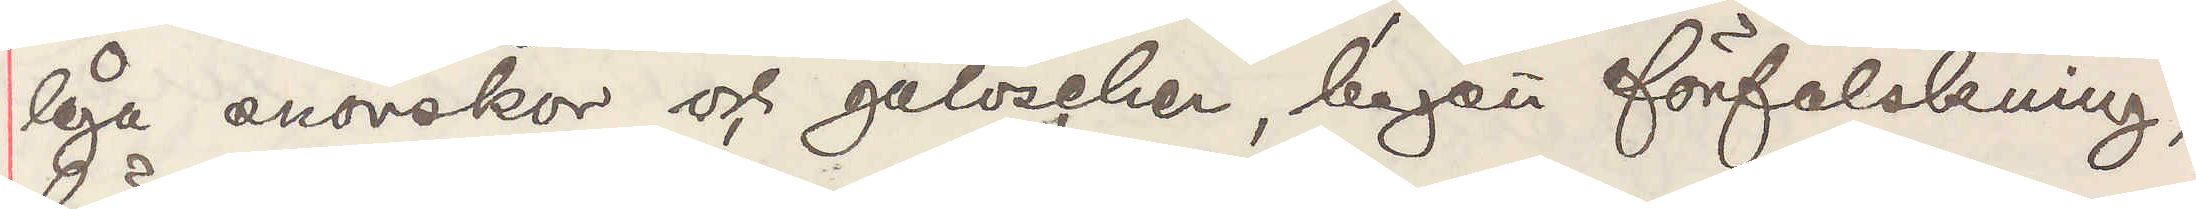låga snörskor och galoscher, begått förfalskning,
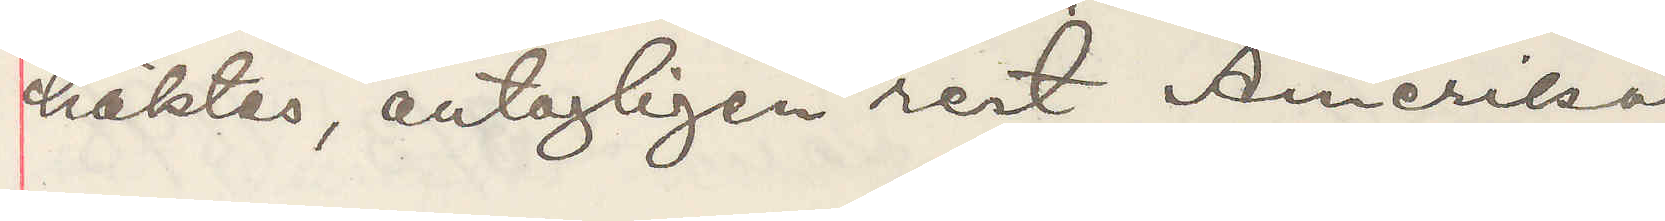häktas, antagligen rest Amerika
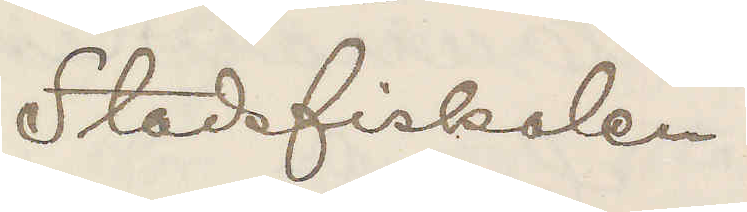Stadsfiskalen.
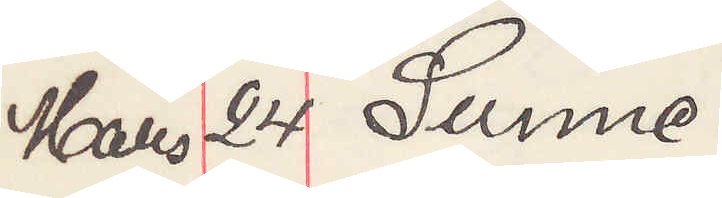Mars 24 Sunne.
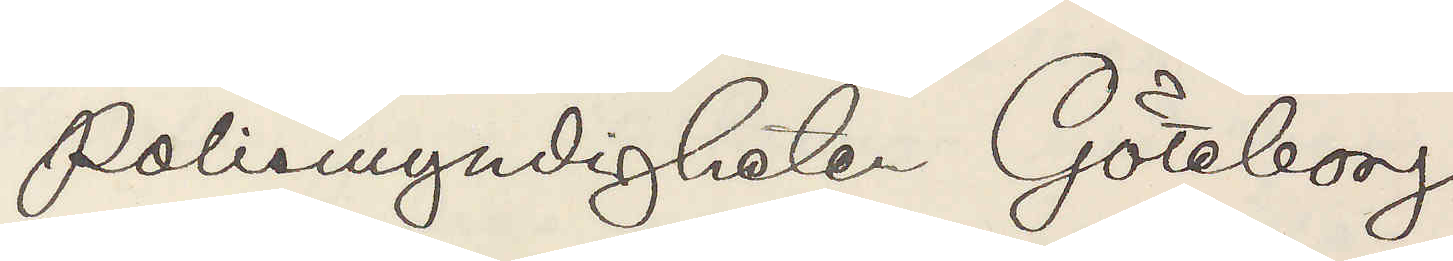Polismyndigheten Göteborg.
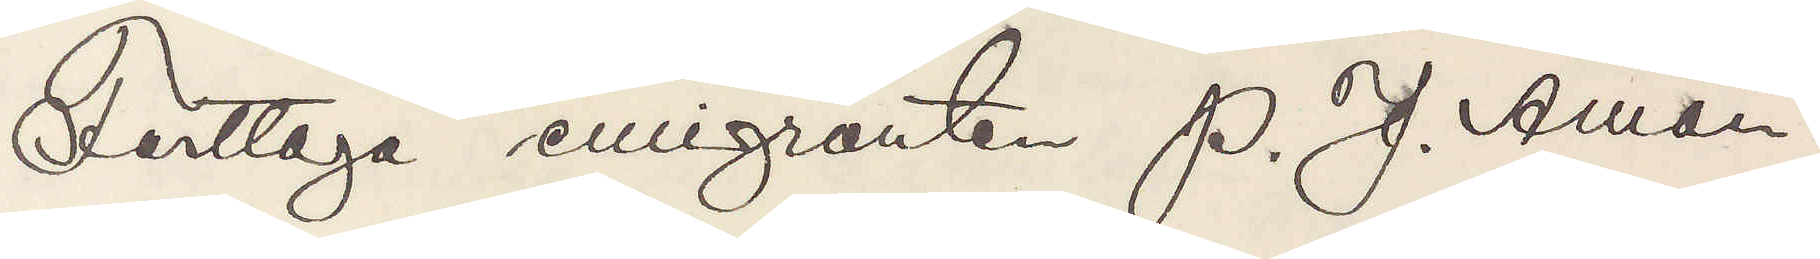Fasttaga emigranten P. J. Åman
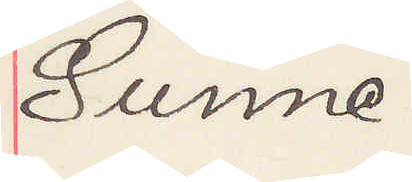Sunne.
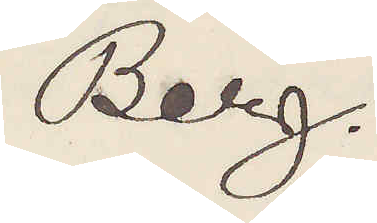Berg.
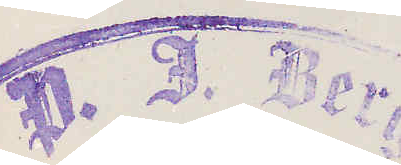P. J. Berg
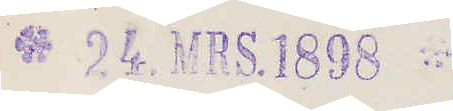24. MRS. 1898
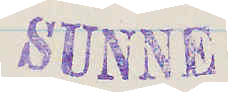Sunne
